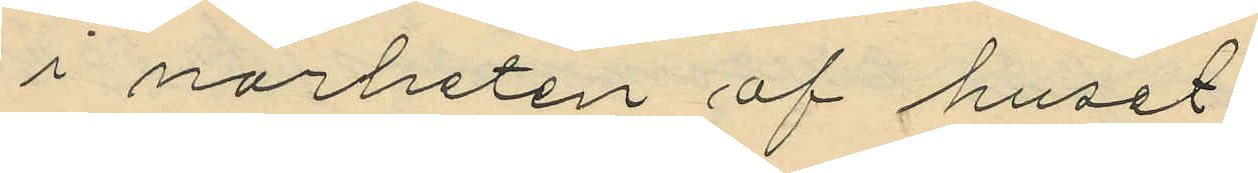i närheten af huset.
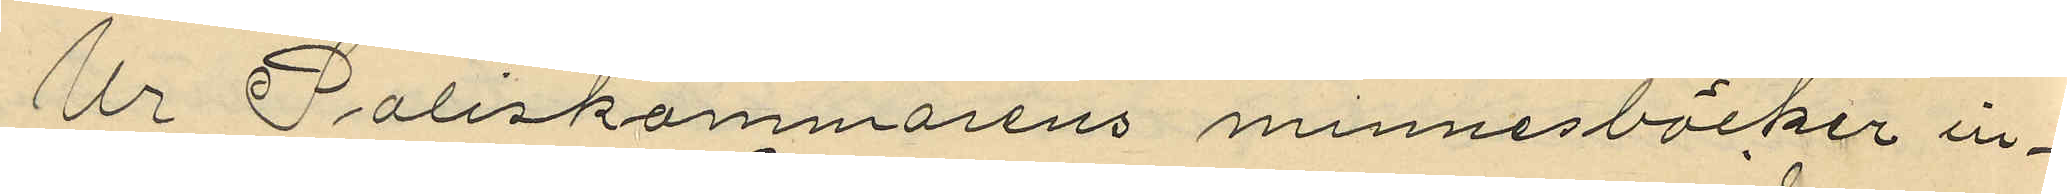Ur Poliskammarens minnesböcker in¬
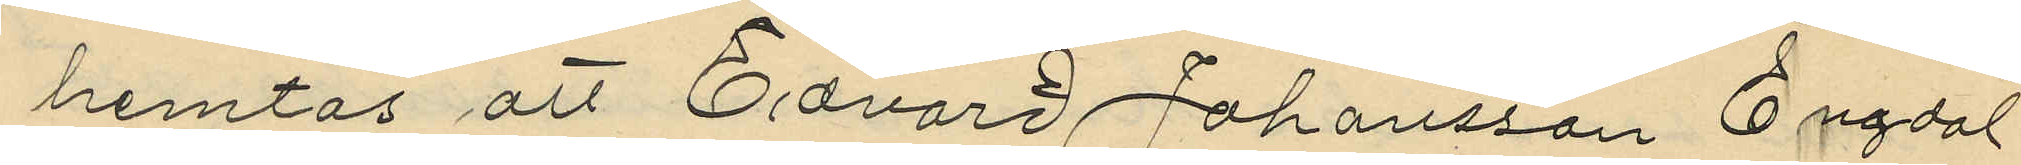hemtas att Edvard Johansson Engdal
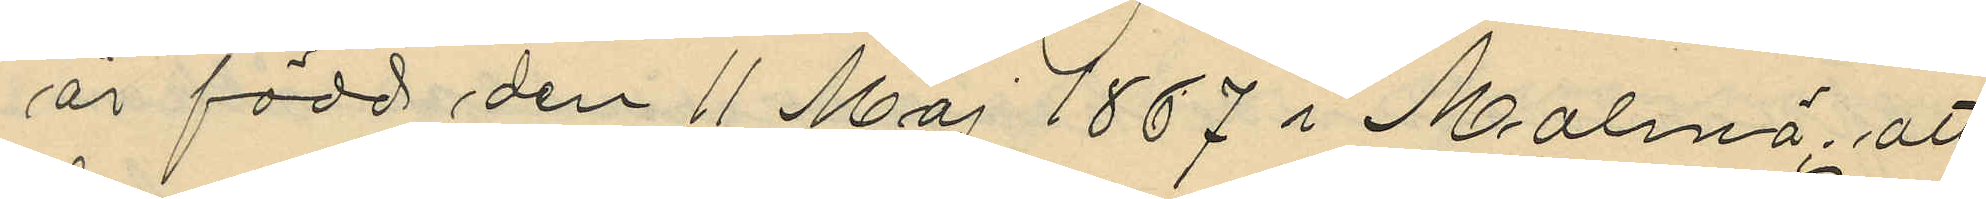är född den 11 Maj 1867 i Malmö att
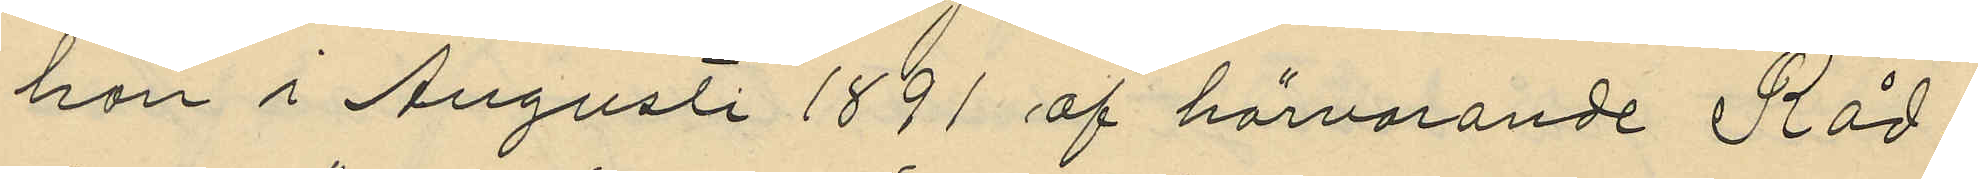han i Augusti 1891 af härvarande Råd¬
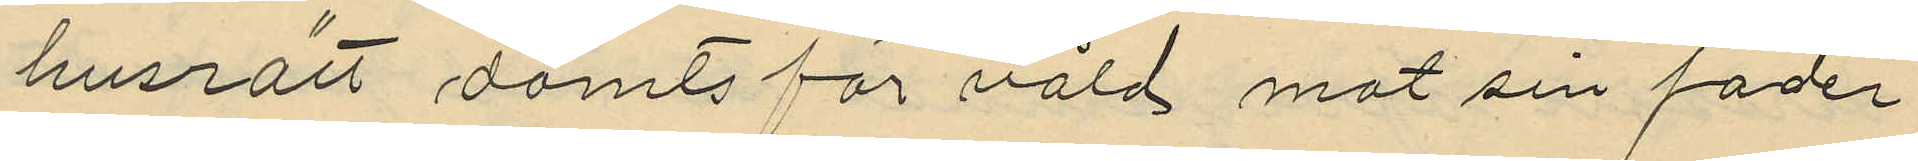husrätt dömts för våld mot sin fader
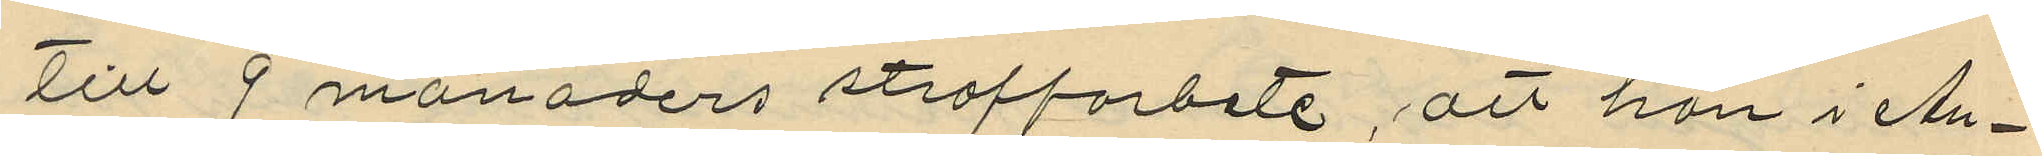till 9 månaders straffarbete, att han i Au¬
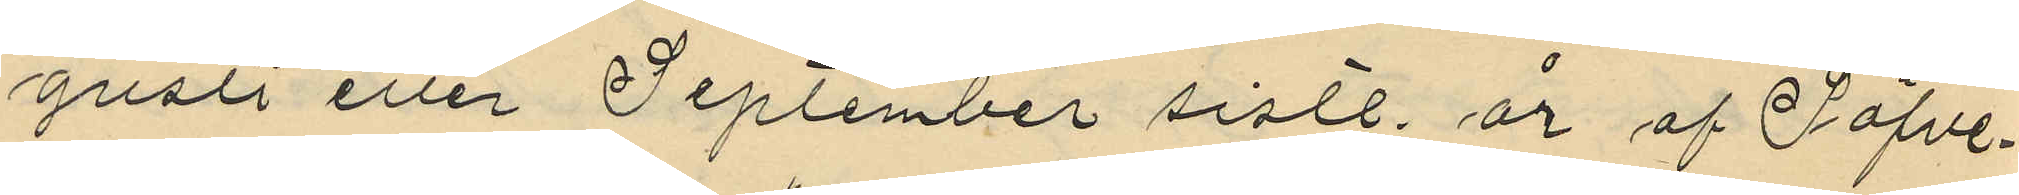gusti eller September sistl. år af Säfve¬
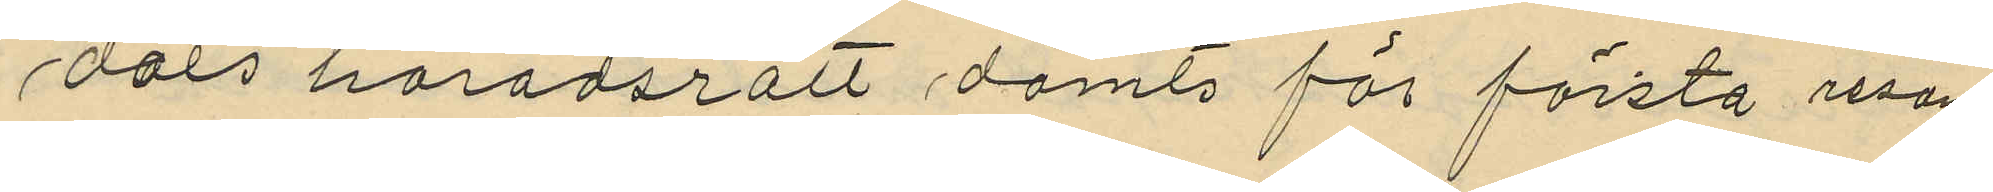dals häradsrätt dömts för första resan
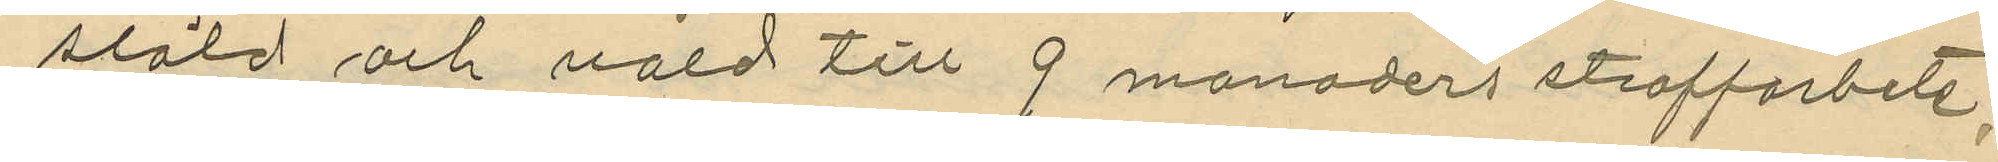stöld och våld till 9 månaders straffarbete,
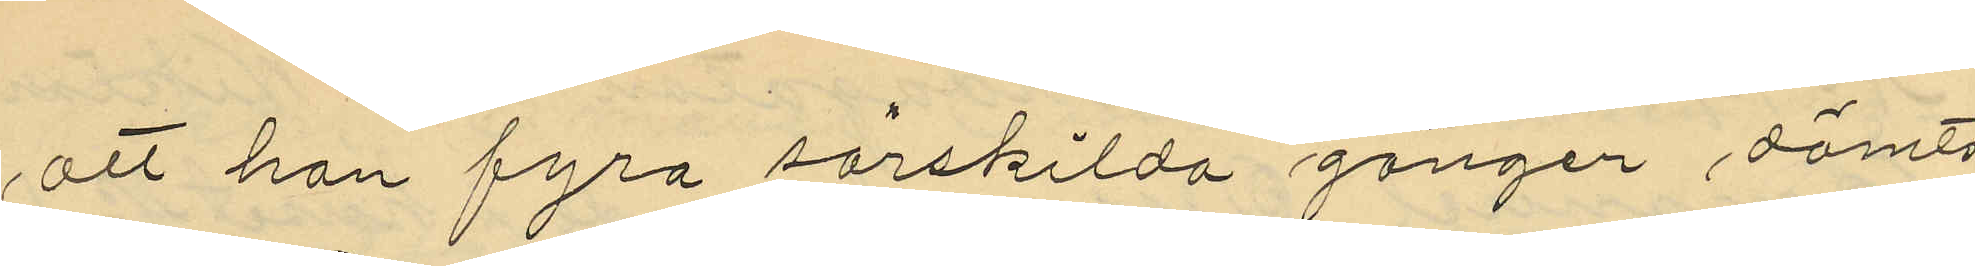att han fyra särskilda gånger dömts
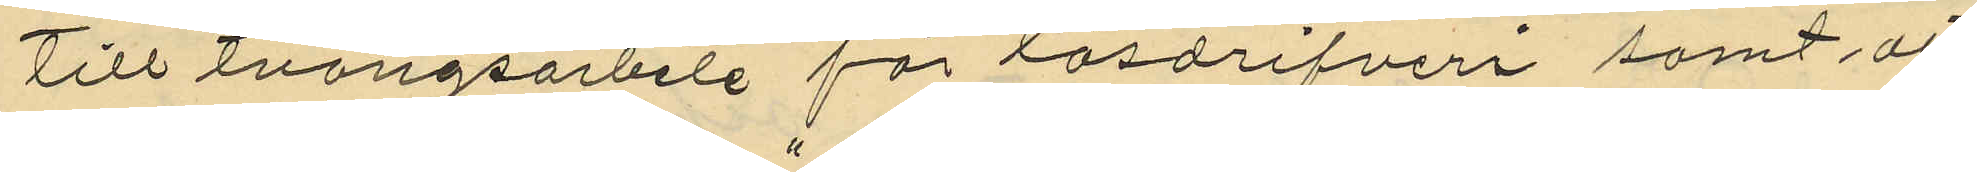till tvångsarbete för lösdrifveri samt att
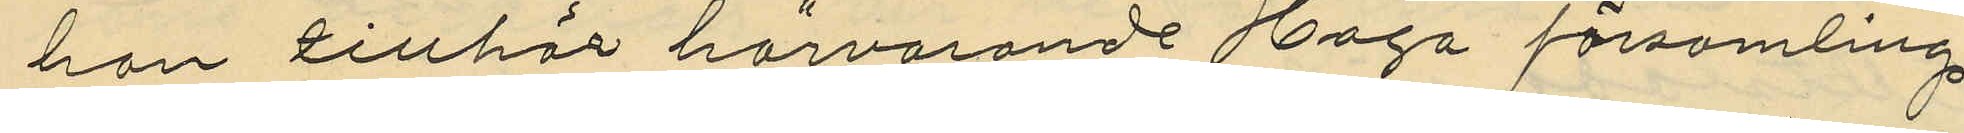han tillhör härvarande Haga församling.
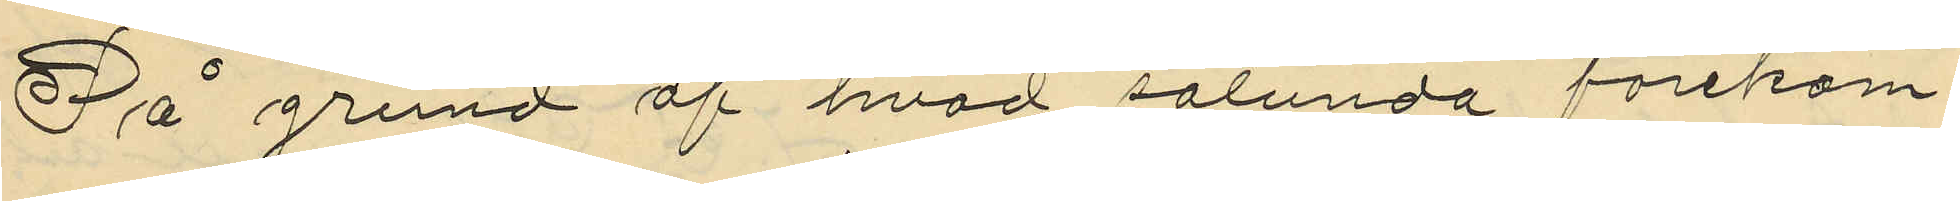På grund af hvad sålunda förekom¬
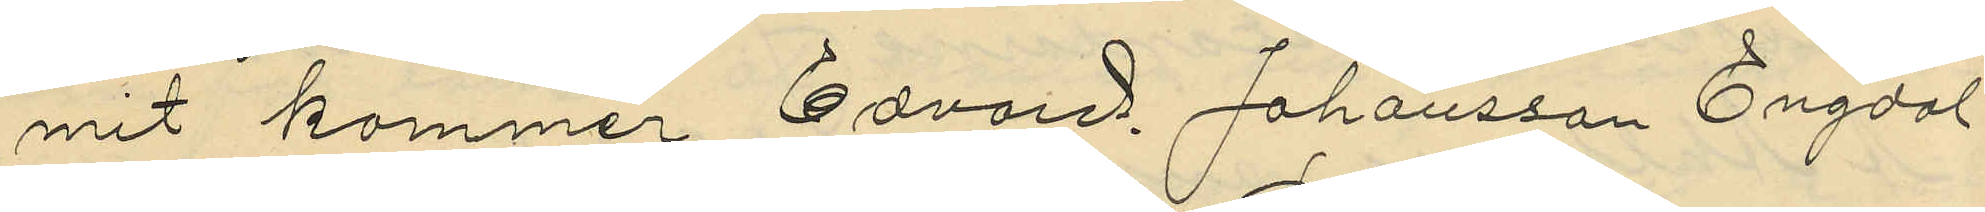mit kommer Edvard Johansson Engdal
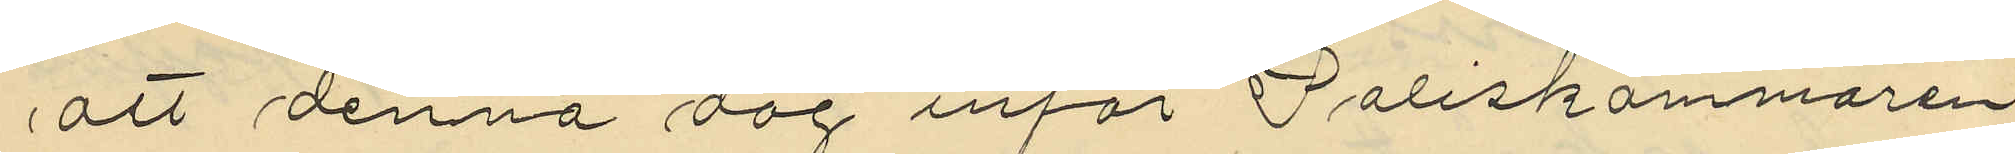att denna dag inför Poliskammaren
